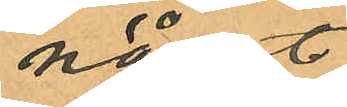något
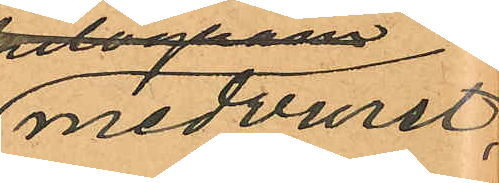medvurst,
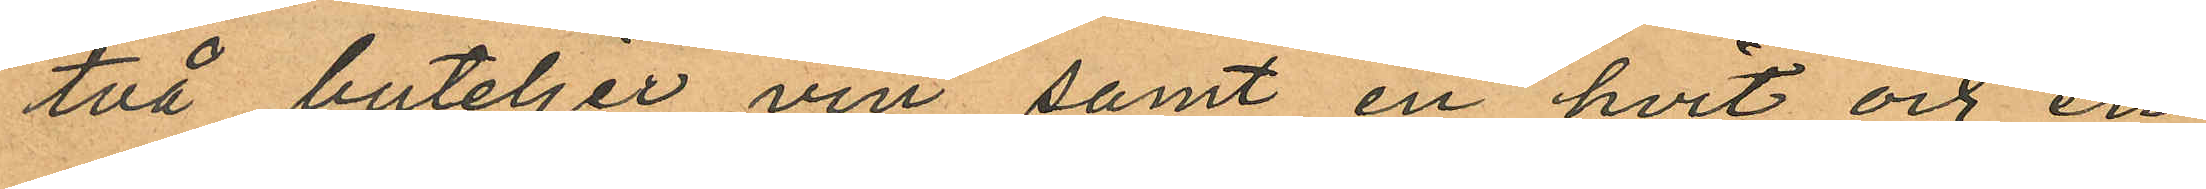två buteljer vin samt en hvit och en
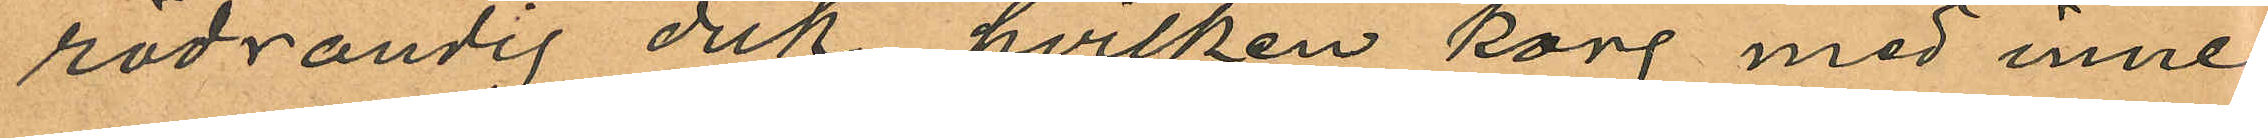rödrandig duk hvilken korg med inne
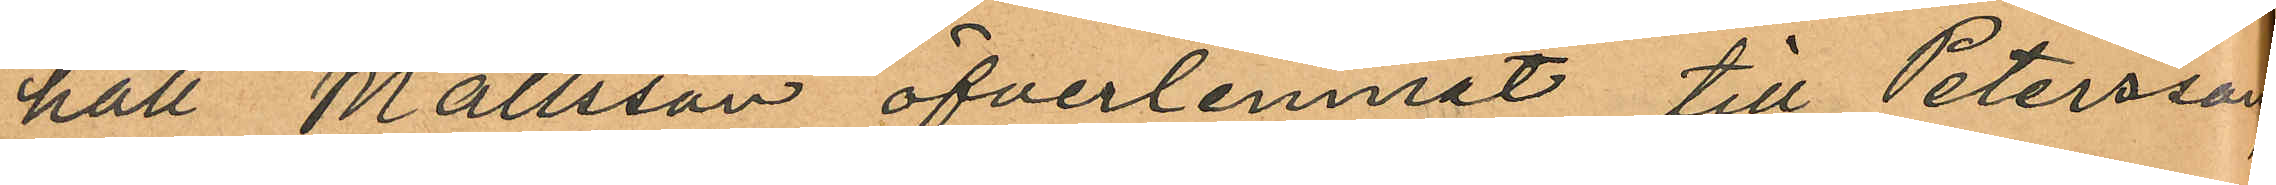håll Mattsson öfverlemnat till Petersson,
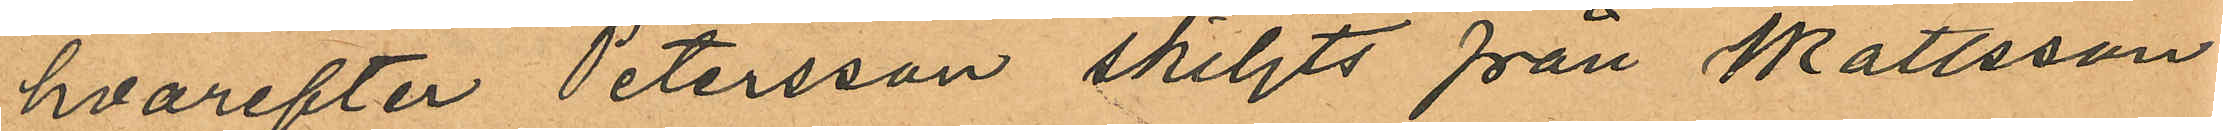hvarefter Petersson skiljts från Mattsson
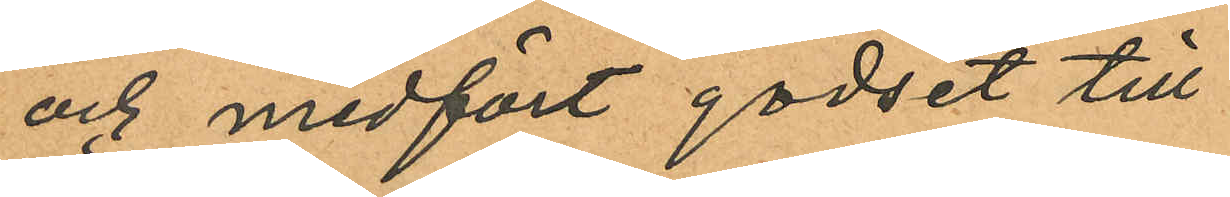och medfört godset till
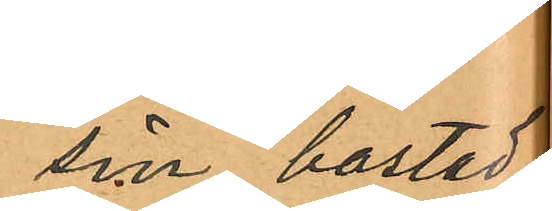sin bostad;
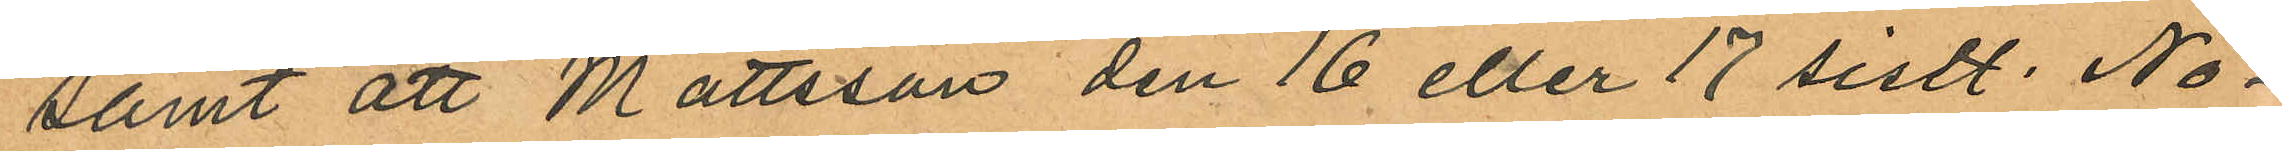samt att Mattsson den 16 eller 17 sistl. No¬
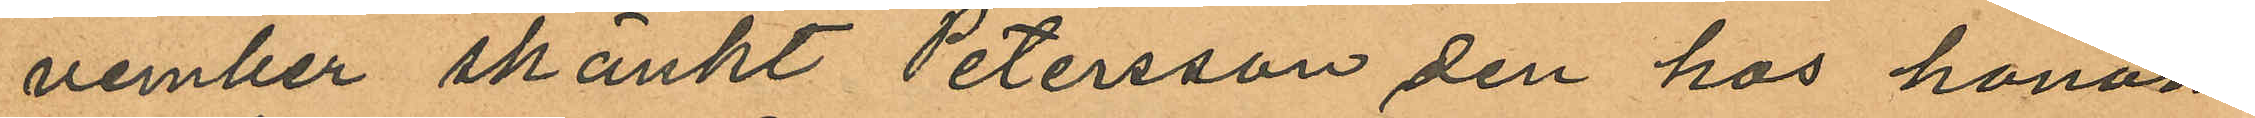vember skänkt Petersson den hos honom
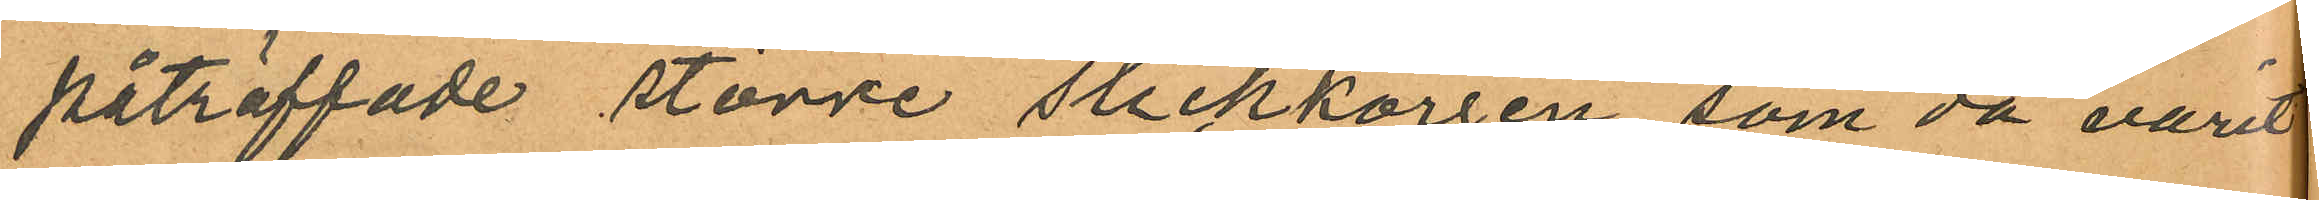påträffade större stickkorgen, som då varit
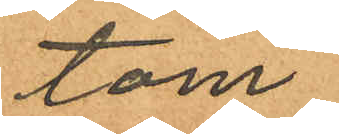tom;
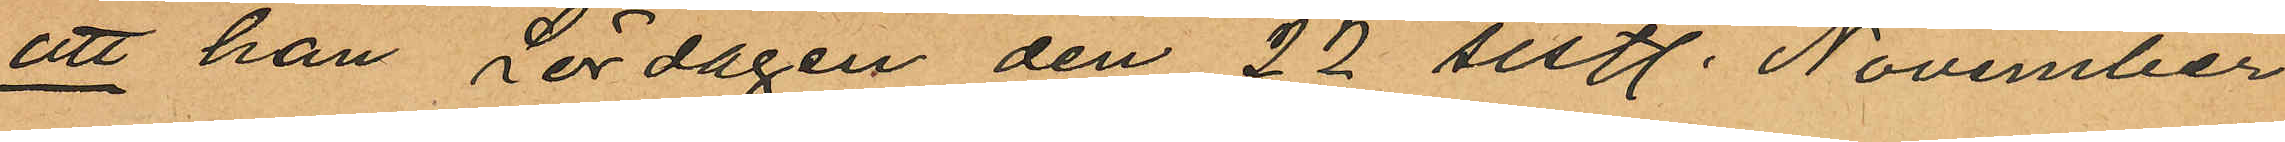att han Lördagen den 22 sistl. November
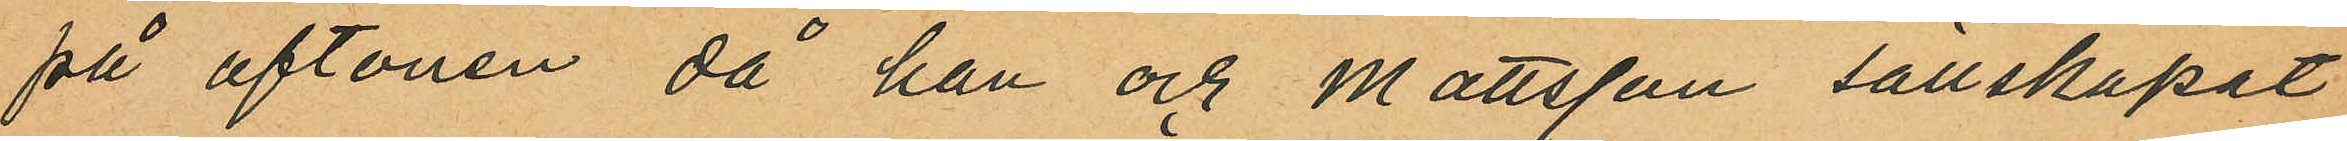på aftonen då han och Mattsson sällskapat
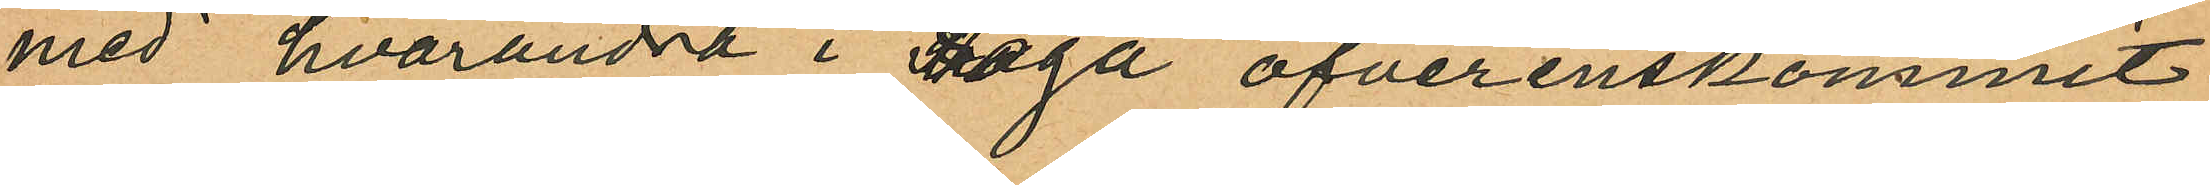med hvarandra i Haga öfverenskommit
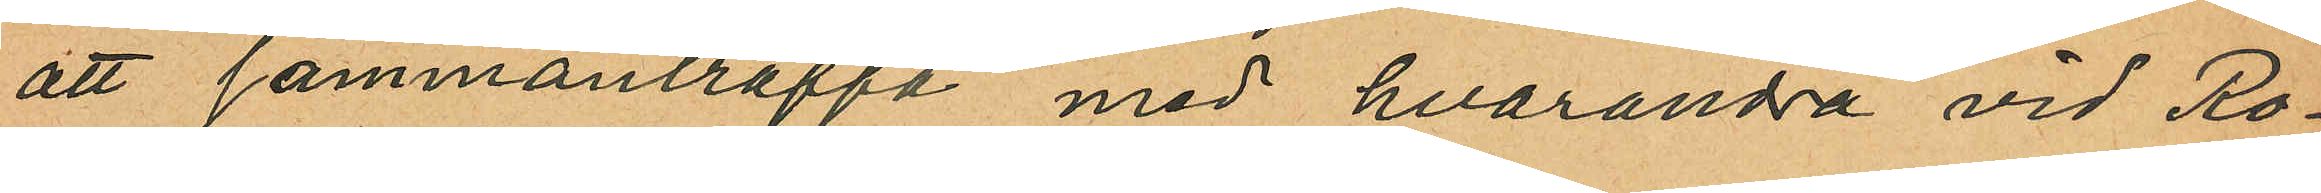att sammanträffa med hvarandra vid Ro¬
